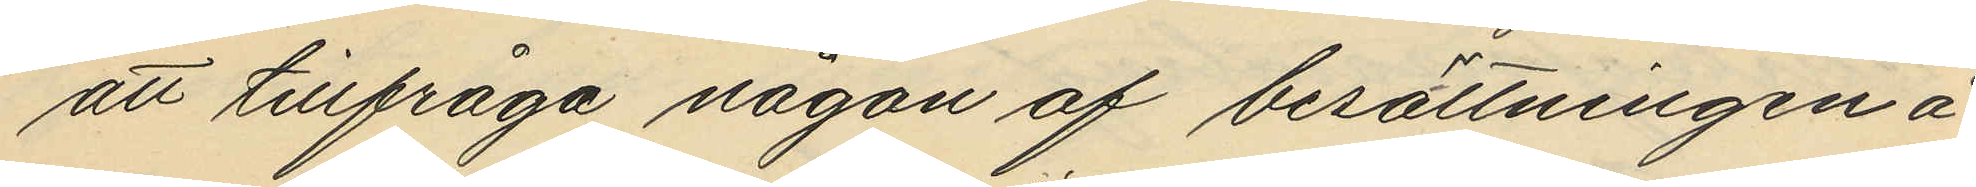att tillfråga någon af besättningen å
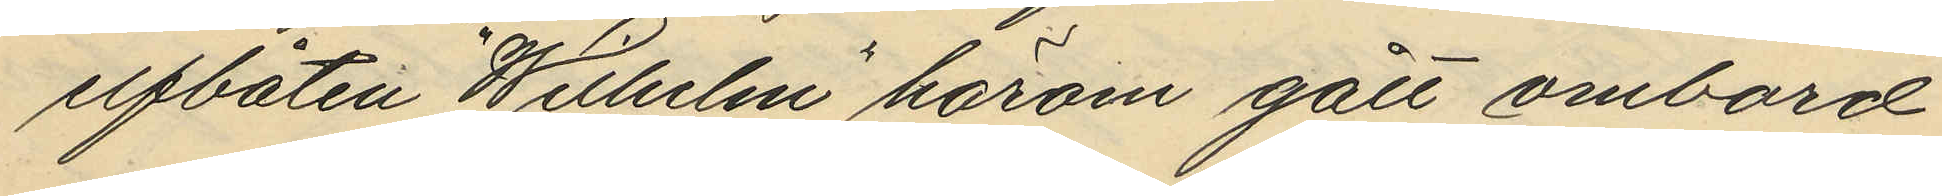ilfbåten Willulm härom gått ombord
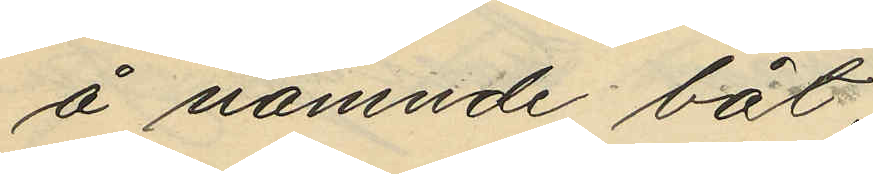å nämnde båt,
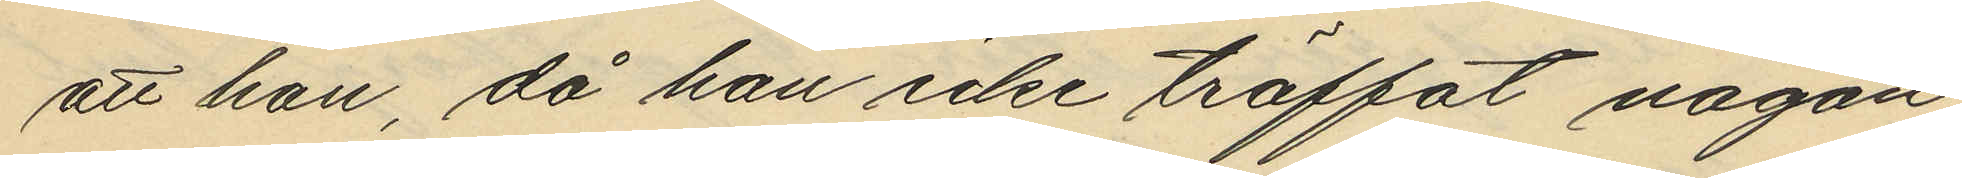att han, då han icke träffat någon
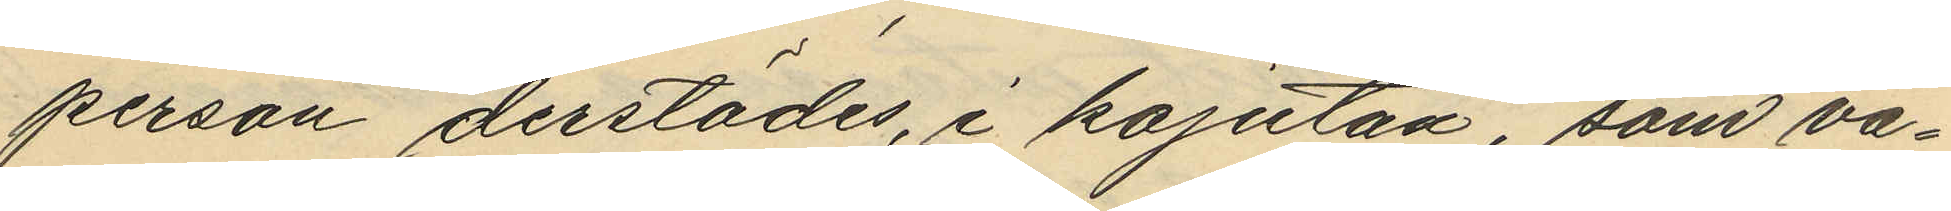person derstädes, i kajutan, som va¬
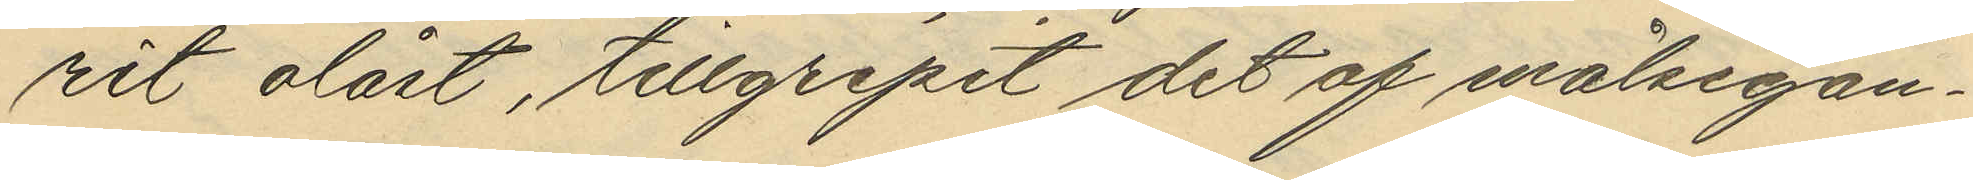rit olåst, tillgripit det af målsegan¬
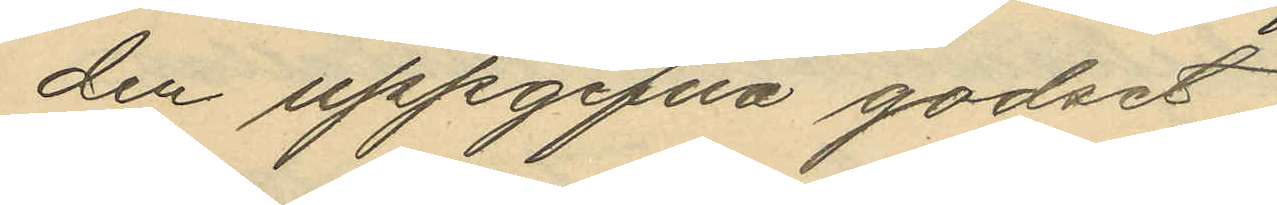den uppgifna godset,
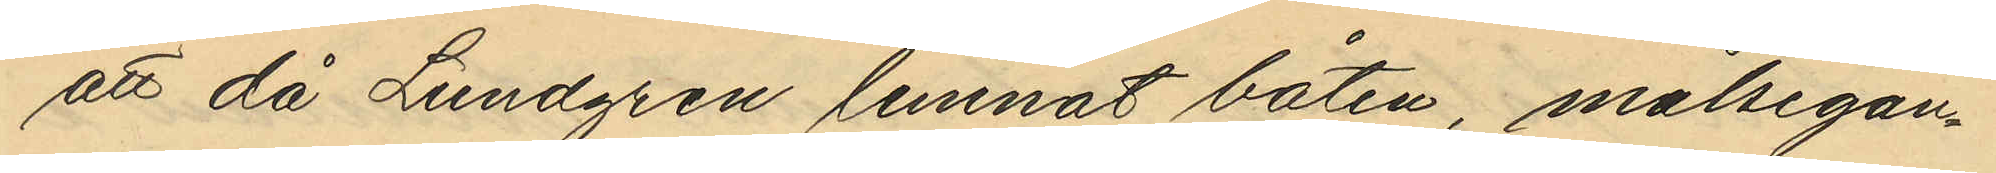att då Lundgren lemnat båten, målsegan¬
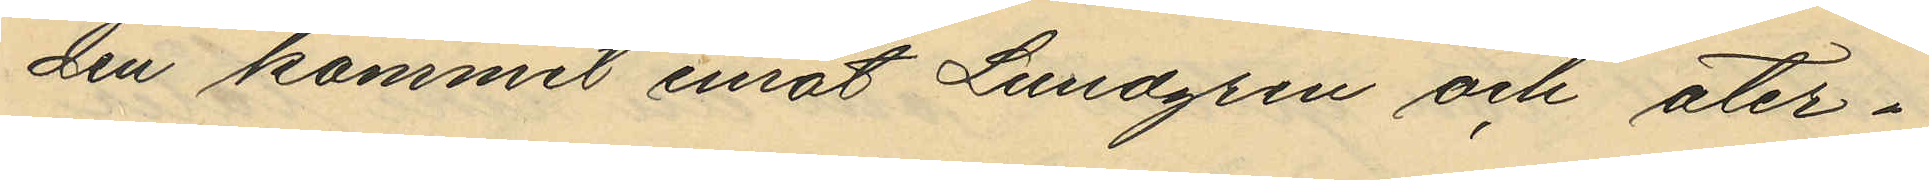den kommit emot Lundgren och åter¬
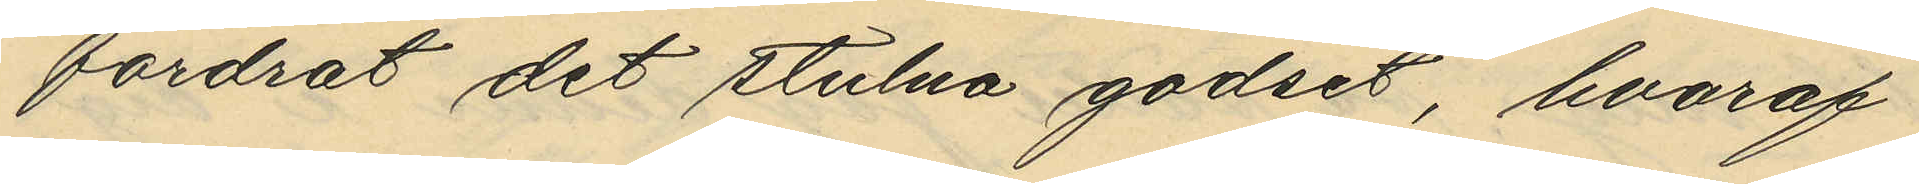fordrat det stulna godset, hvaraf
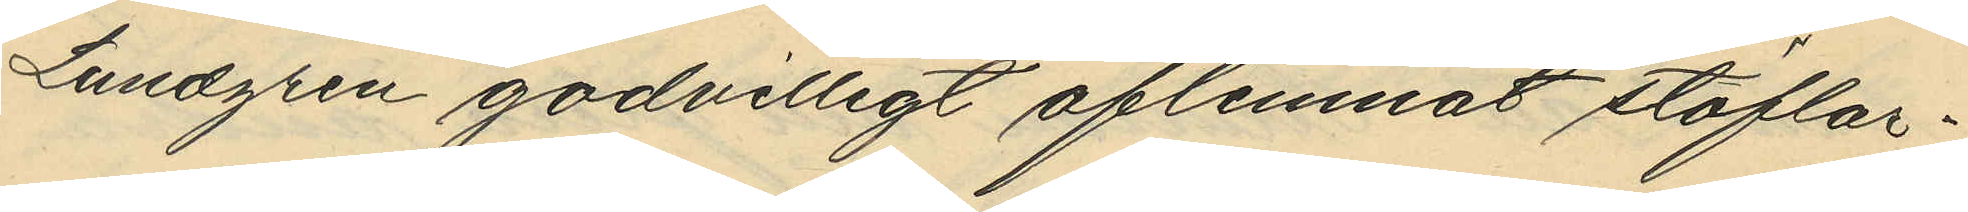Lundgren godvilligt aflemnat stöflar¬
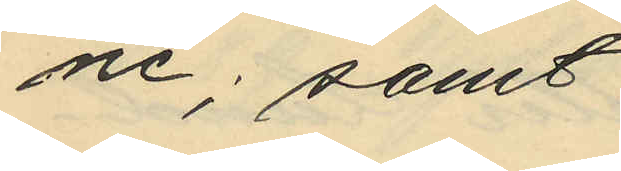ne; samt
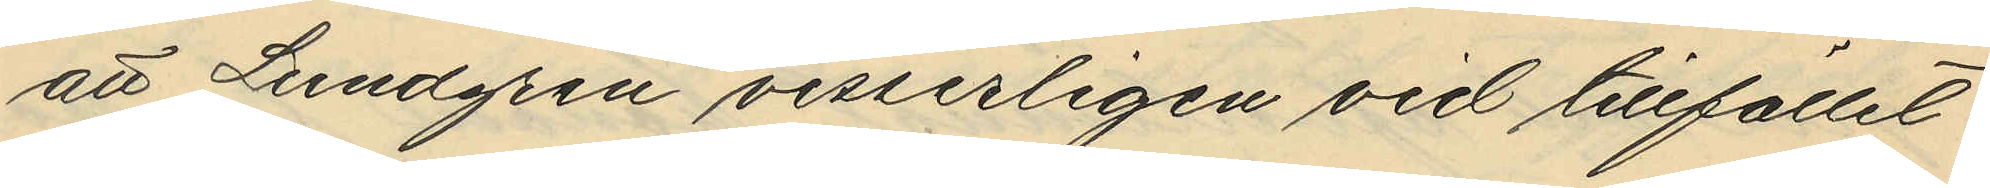att Lundgren visserligen vid tillfället
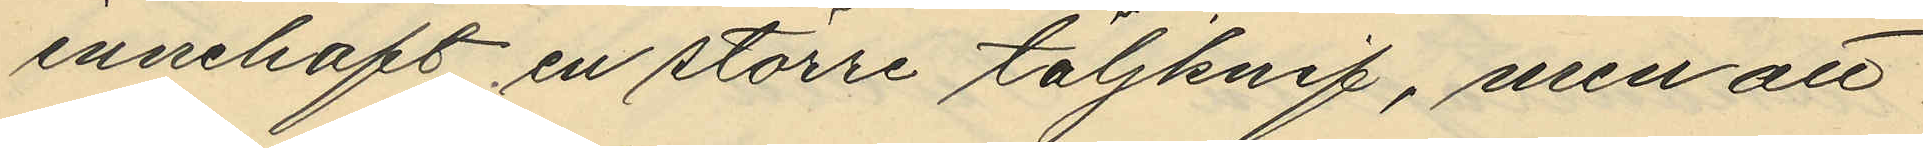innehaft en större täljknif, men att
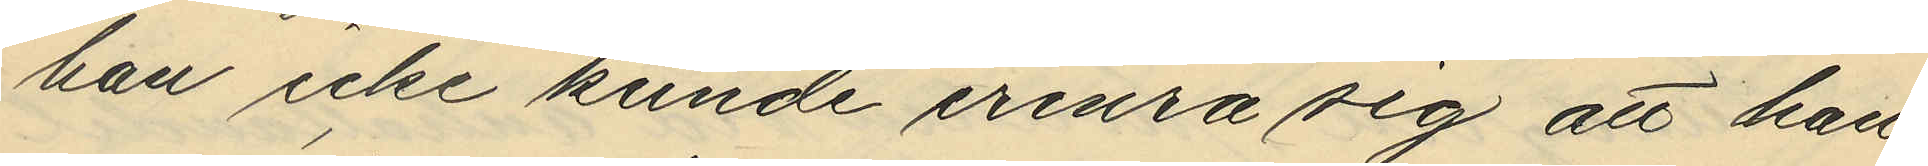han icke kunde erinra sig att han
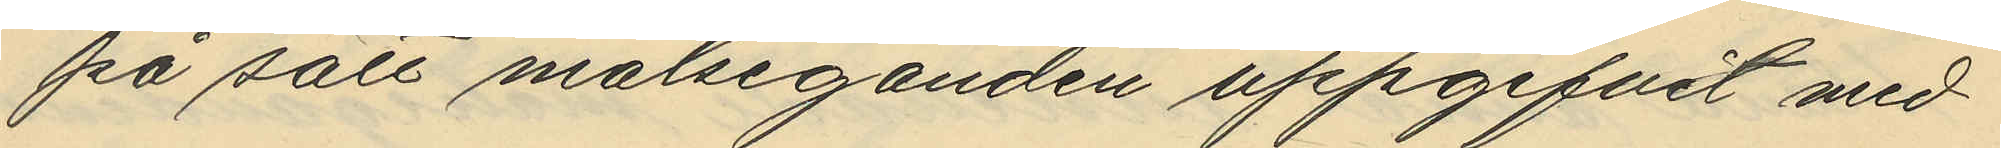på sätt målseganden uppgifvit med
